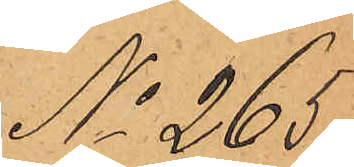No 265.
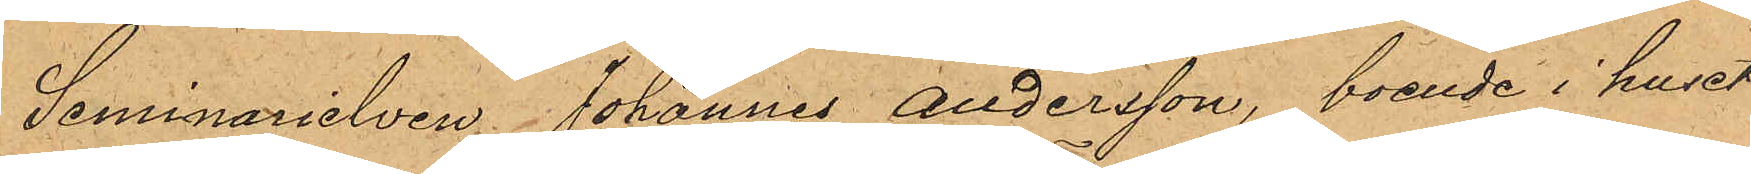Seminarielven Johannes Andersson, boende i huset
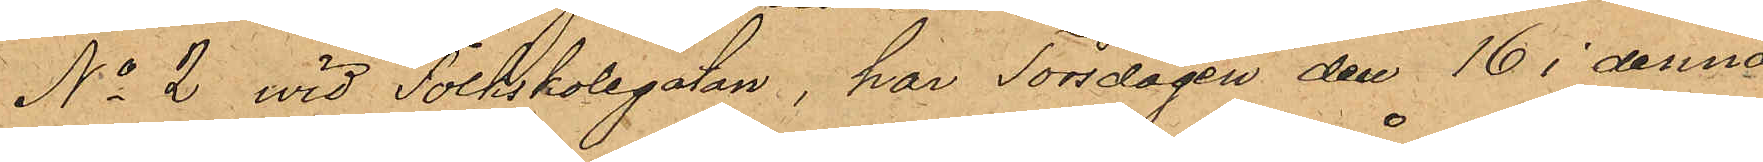No 2 vid Folkskolegatan har Torsdagen den 16 i denna
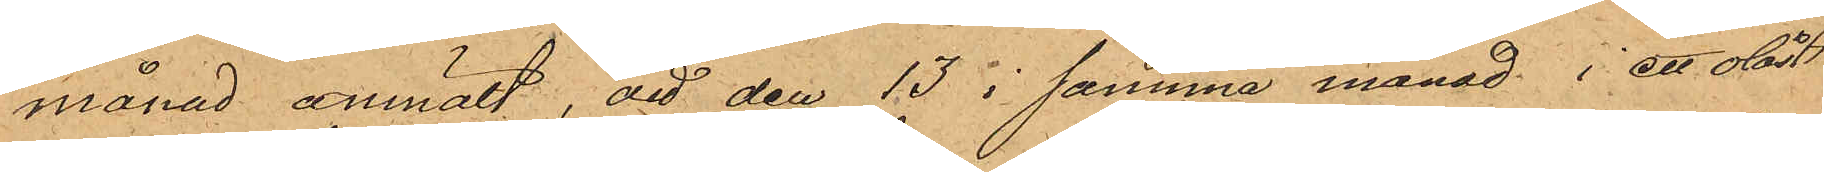månad anmält, att den 13 i samma månad i ett olåst
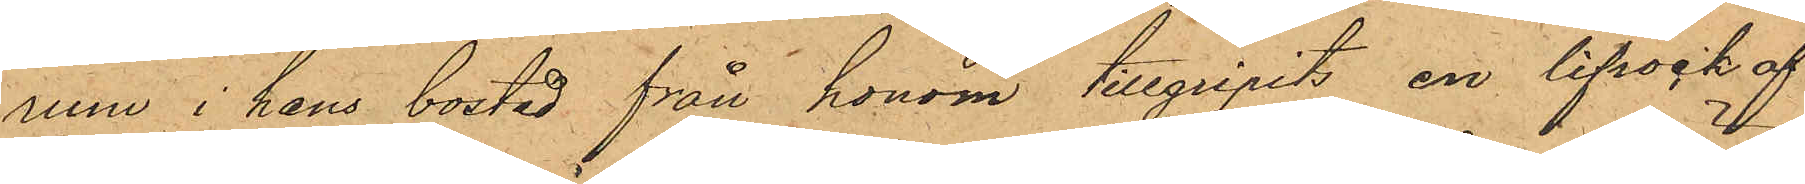rum i hans bostad från honom tillgripits en lifrock af
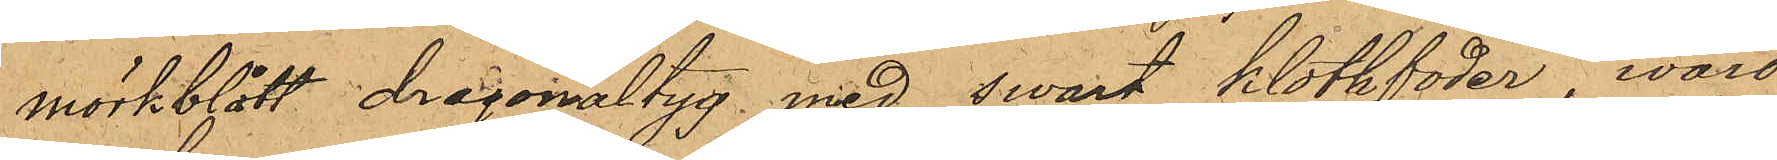mörkblått dragonaltyg med swart klothfoder, wärd
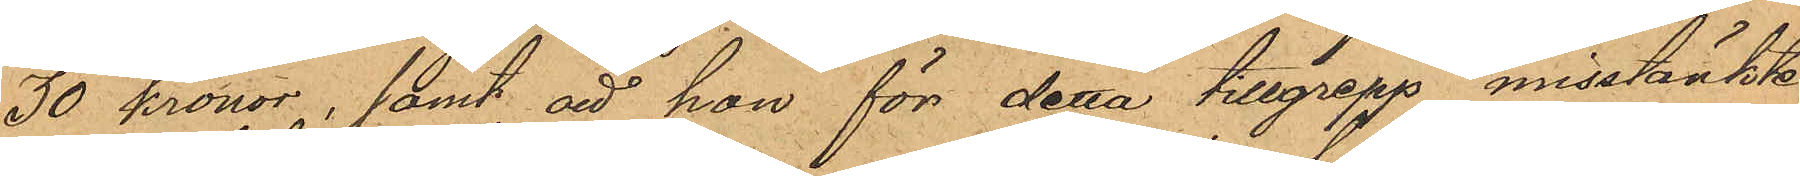30 kronor, samt att han för detta tillgrepp misstänkte
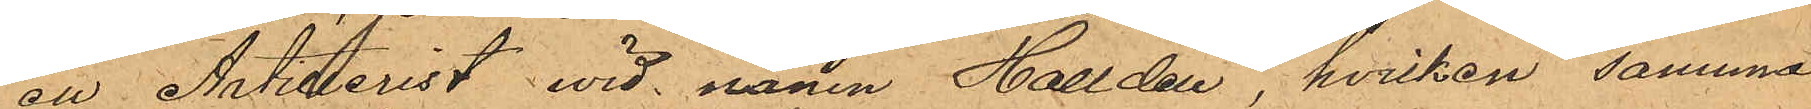att Artillerist vid namn Halldén, hvilken samma
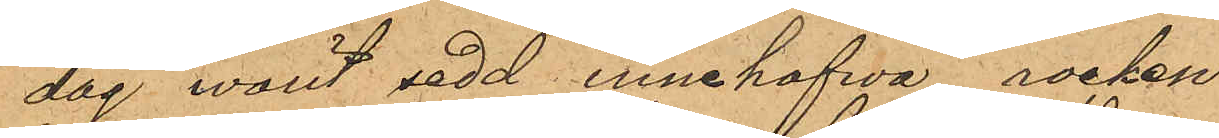dag warit sedd innehafva rocken.
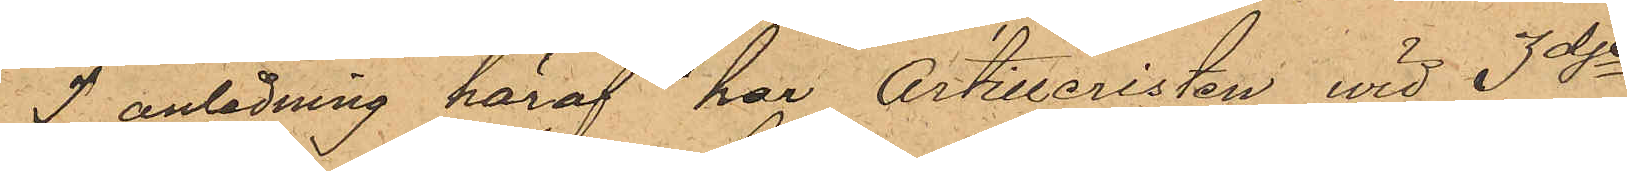I anledning häraf har Artilleristen vid 3dje
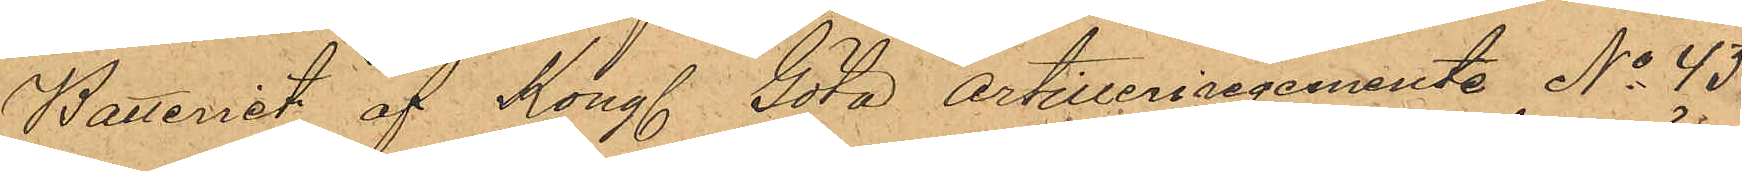Batteriet af Kongl. Göta artilleriregemente No 43
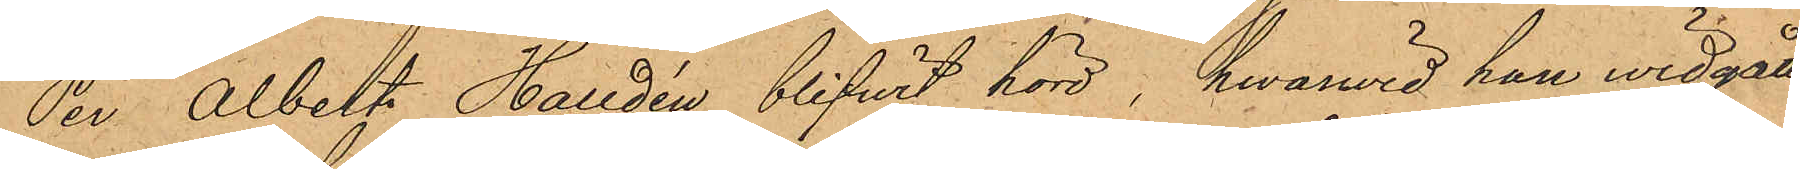Per Albert Halldén blifwit hörd, hwarvid han vidgått
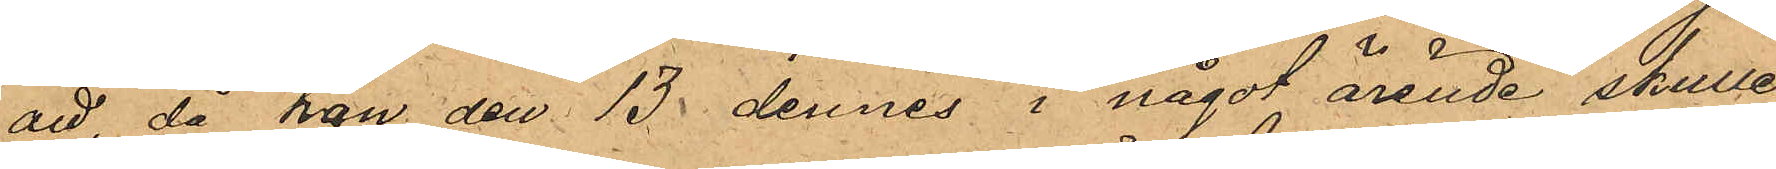att, då han den 13 dennes i något ärende skulle
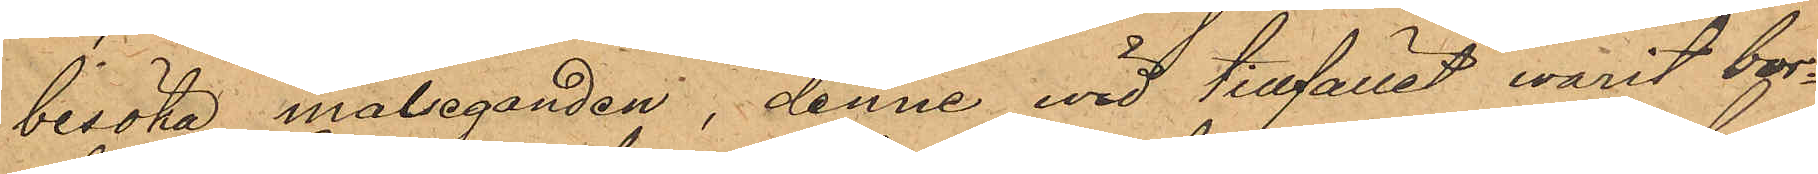besöka målseganden, denne vid tillfället warit bor¬
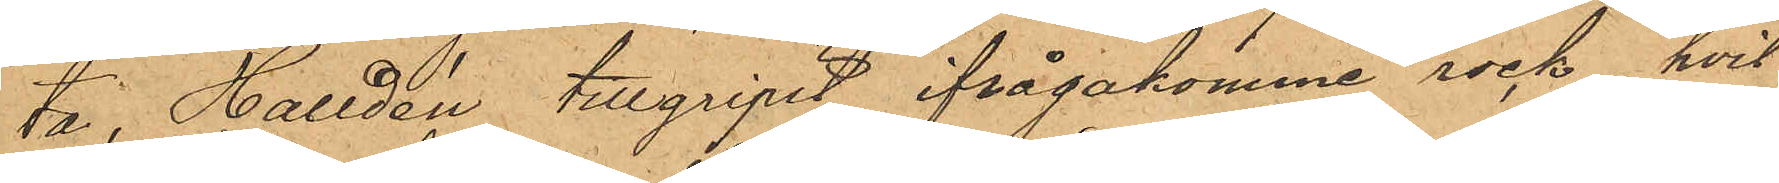ta, Halldén tillgripit ifrågakomme rock, hvil¬
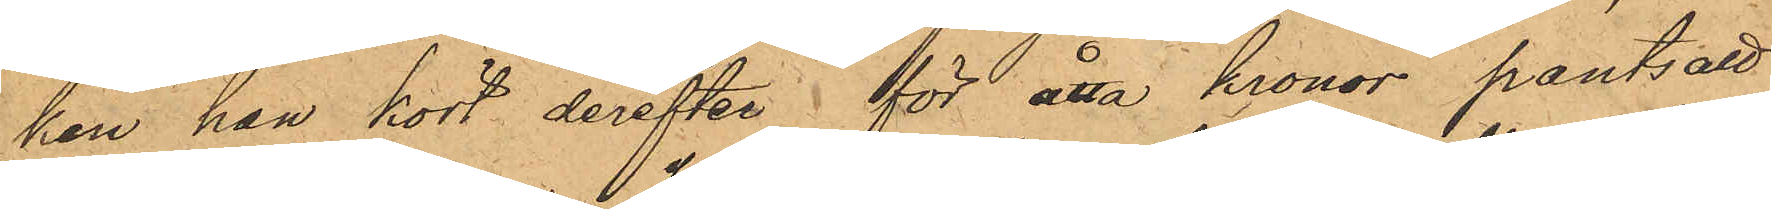ken han kort derefter för åtta kronor pantsatt
